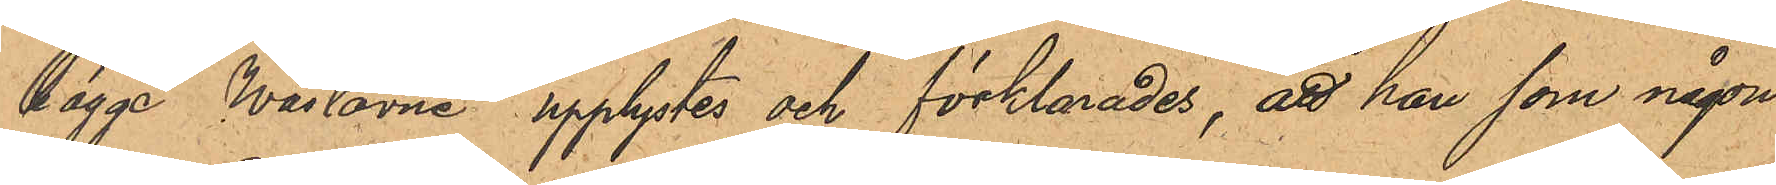bägge Wästarne upplystes och förklarades, att han som någon
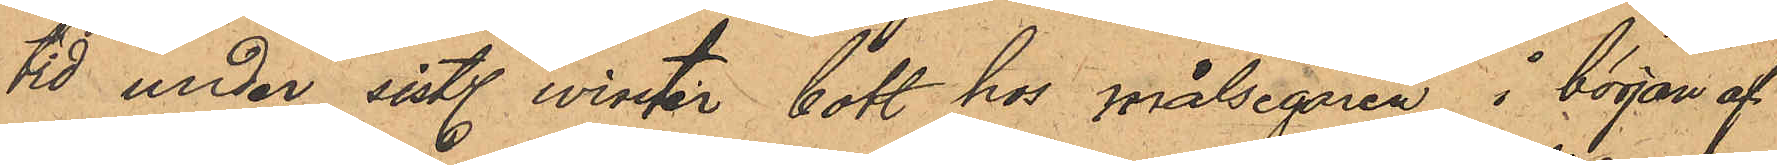tid under sist. winter bott hos målsegaren i början af
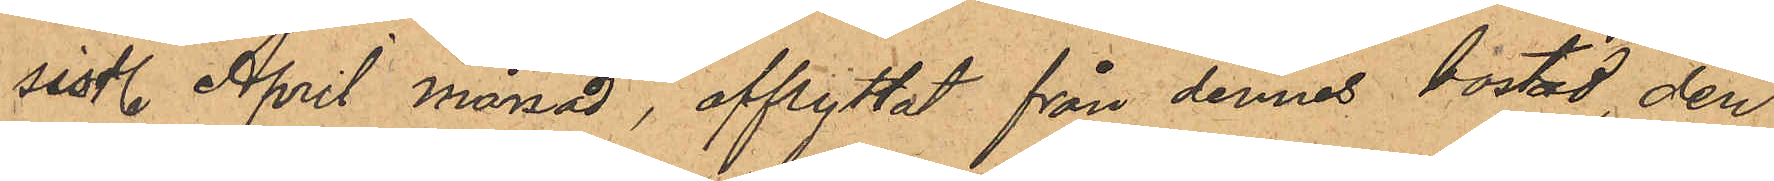sist. April månad, afflyttat från dennes bostad, den
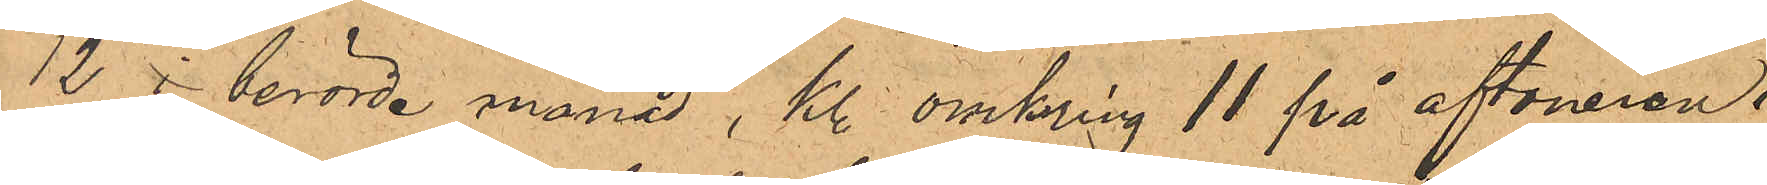12 i berörde månad, kl. omkring 11 på aftonen i
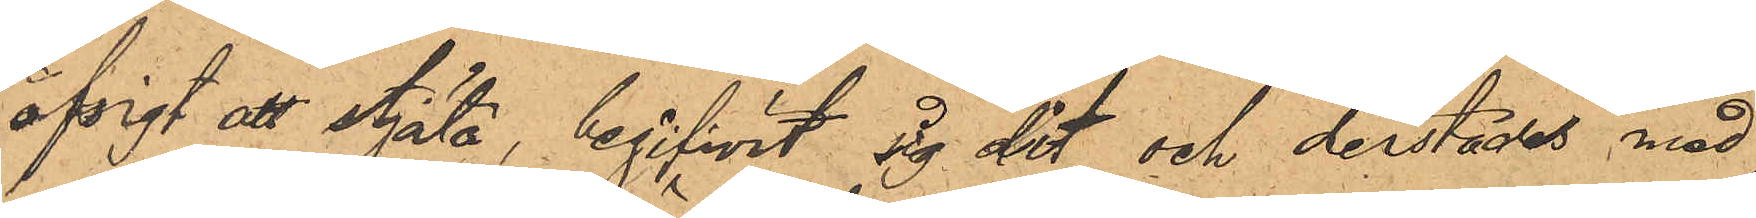afsigt att stjäla, begifwit sg dit och derstädes med
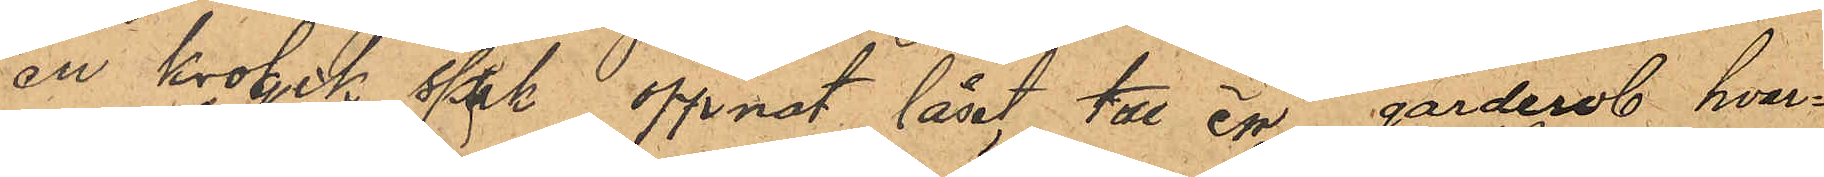en krogik spik öppnat låset till en garderob hvar¬
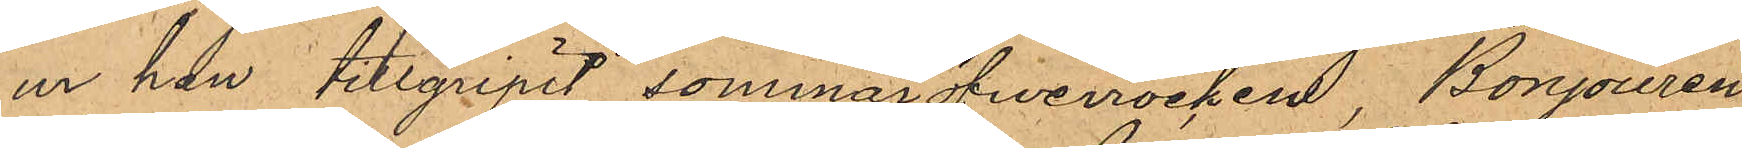ur han tillgripit sommaröfwerrocken, Bonjouren
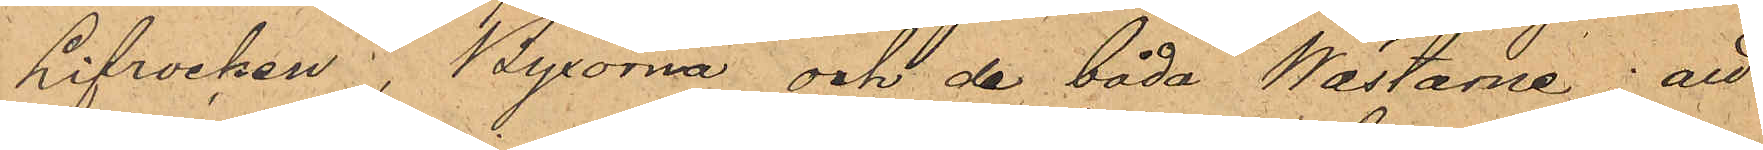Lifrocken, Byxorna och de båda Wästarne; att
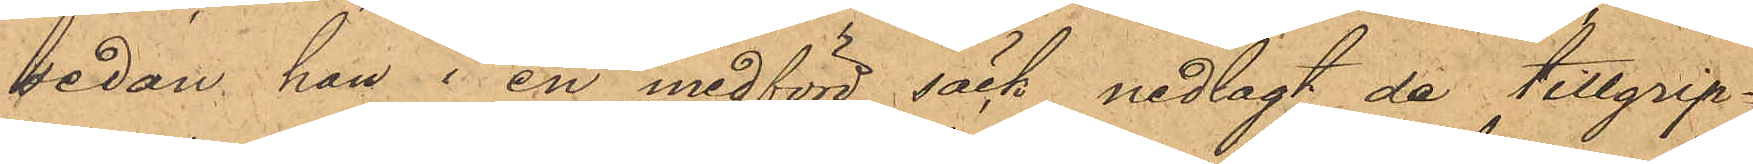sedan han i en medförd säck nedlagt de tillgrip¬
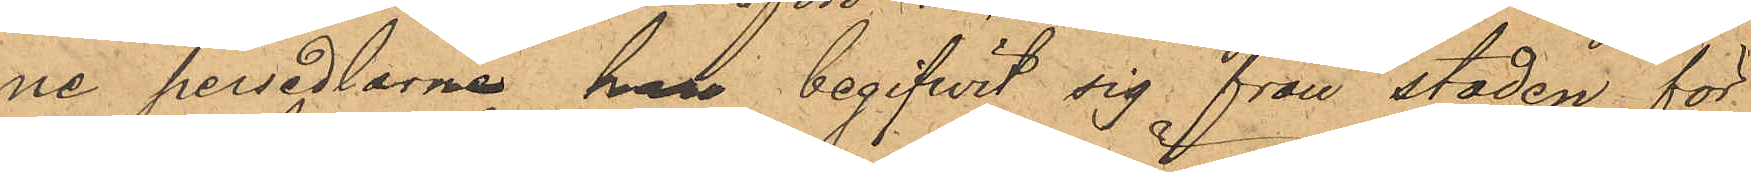ne persedlarne han begifvit sig från staden för
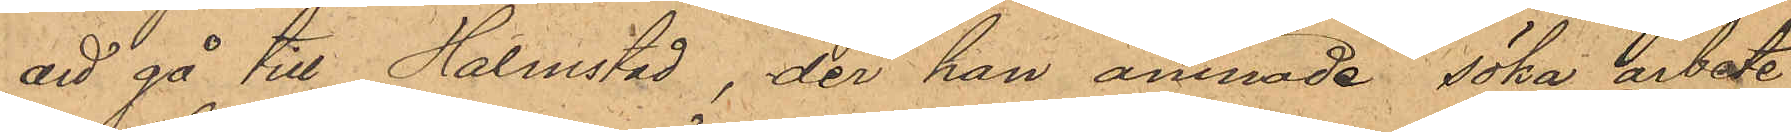att gå till Halmstad, der han ämnade söka arbete,
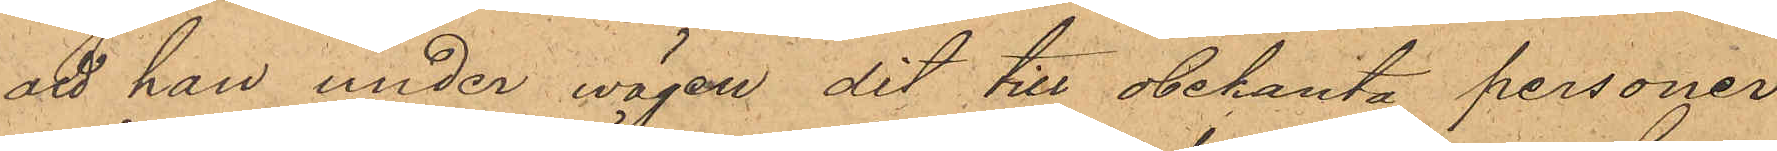att han under vägen dit till obekanta personer
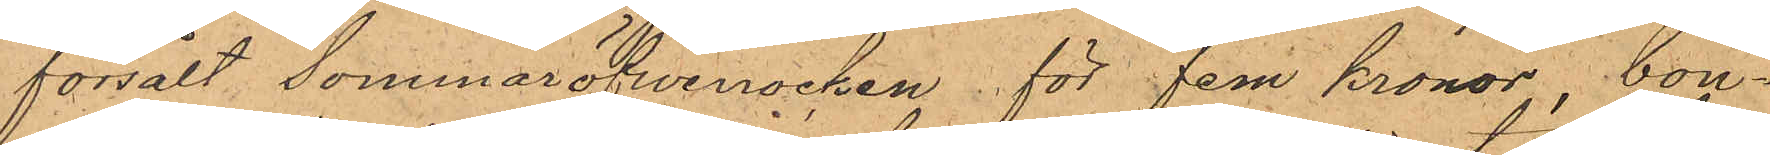försålt Sommaröfwerocken för fem kronor, bon¬
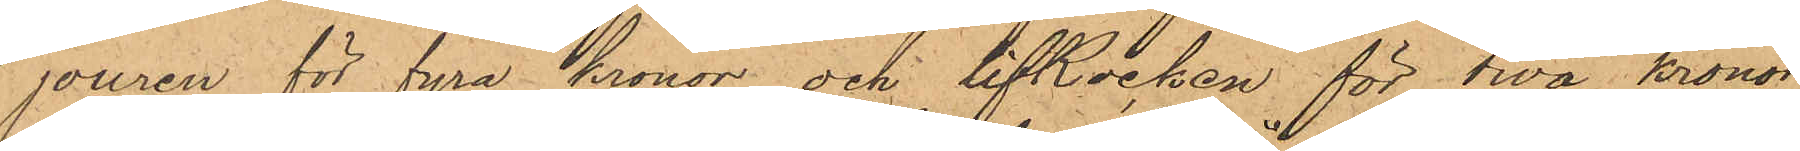jouren för fyra kronor och lifRocken för twå kronor
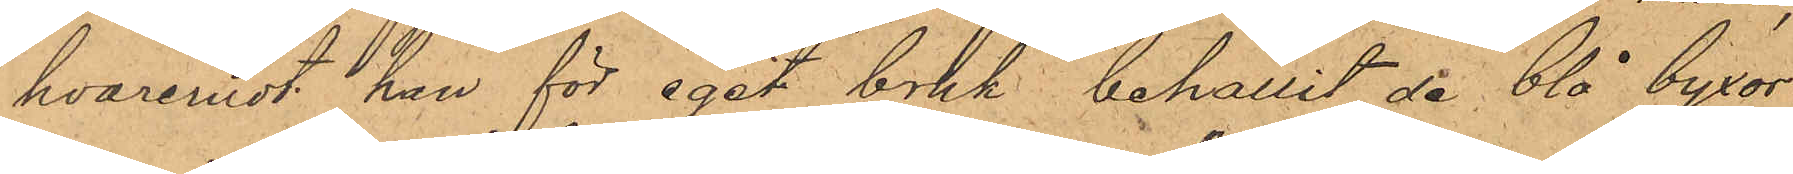hvaremot han för eget bruk behållit de blå byxor¬
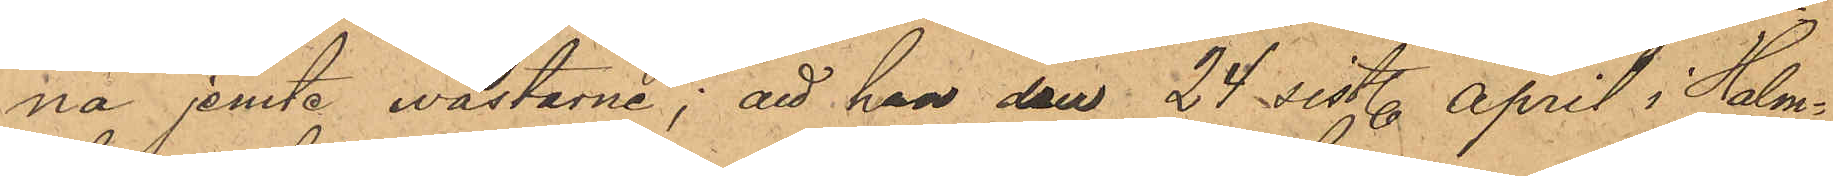na jemte wästarne; att han den 24 sist. April i Halm¬
